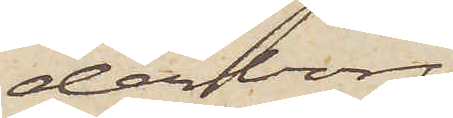derborg
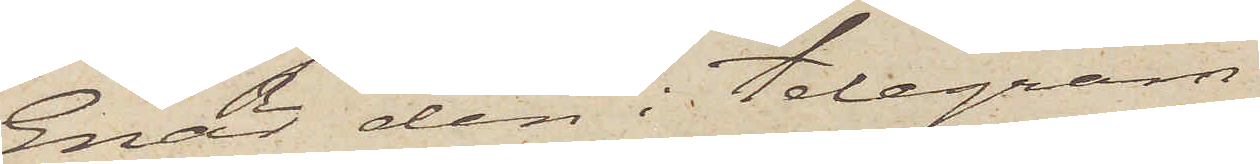Enär den i telegram
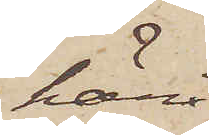häri¬
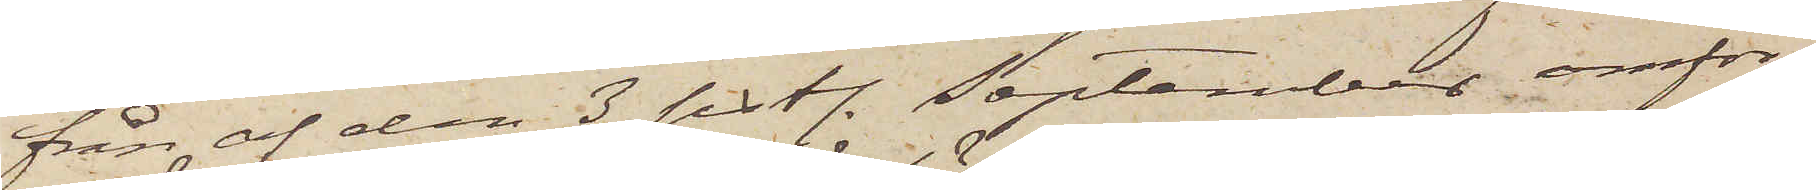från af den 3 sistl. September omför¬
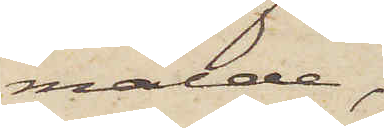mälde,
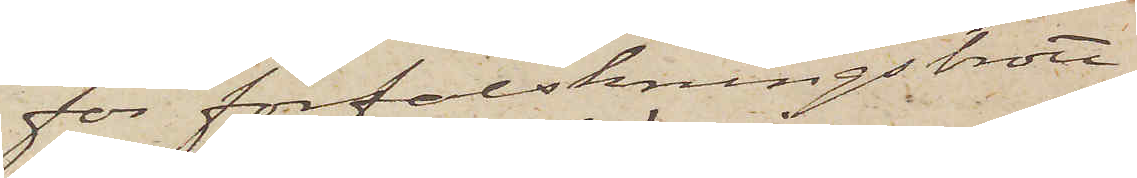för förfalskningsbrott
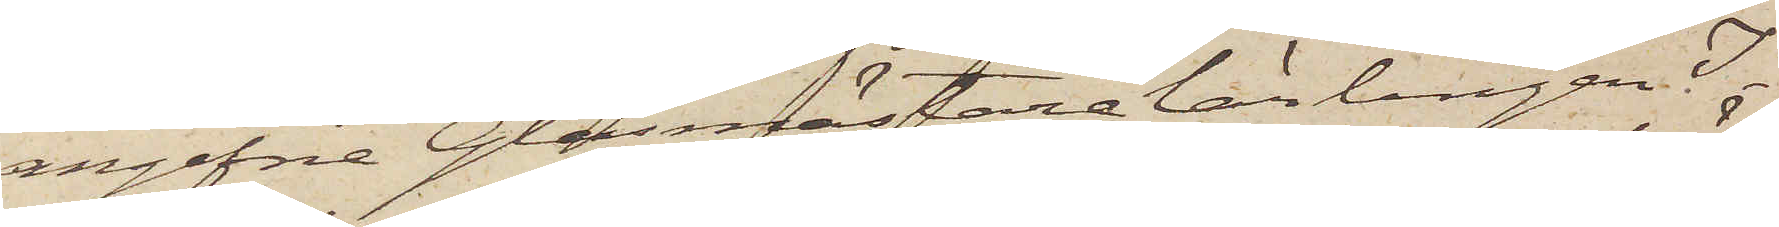angifne Glasmästarelärlingen I¬
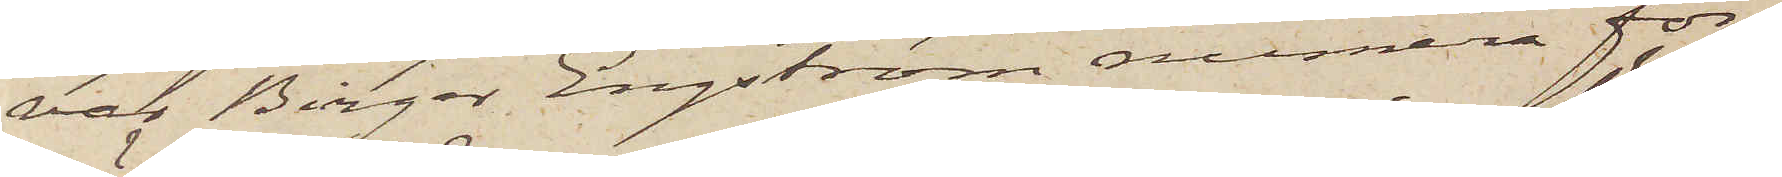var Birger Engström numera för¬
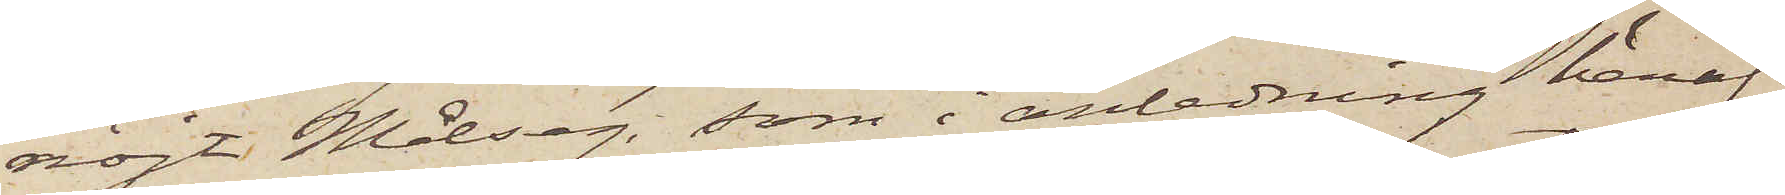nöjt Målseg, som i anledning häraf
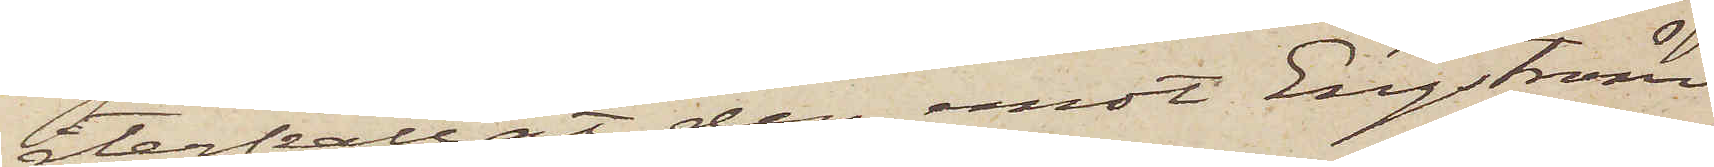återkallat den emot Engström
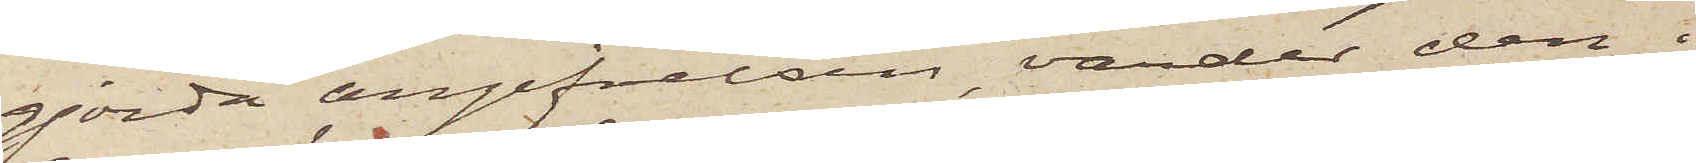gjorda angifvelsen, varder den i
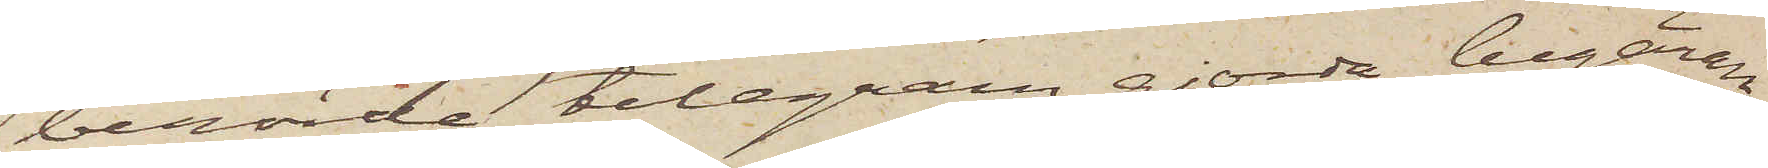berörde telegram gjorda begäran
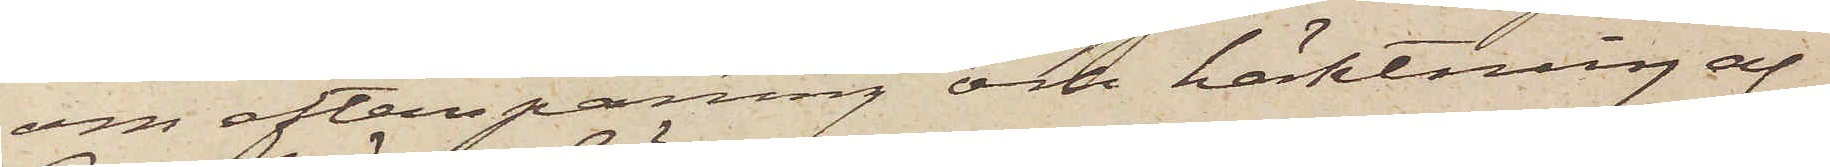om efterspaning och häktning af
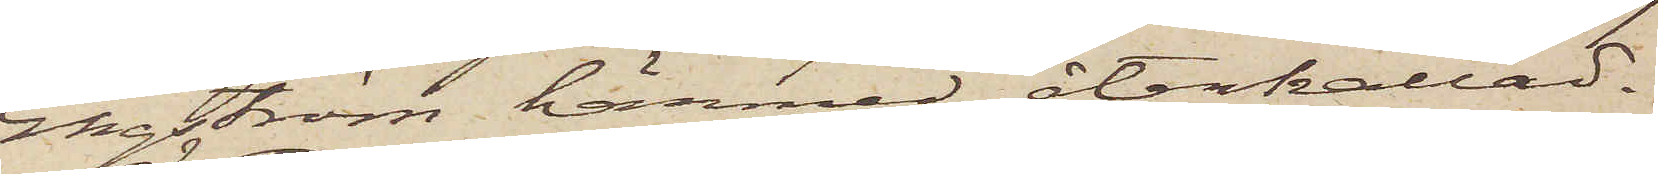Engström härmed återkallad.
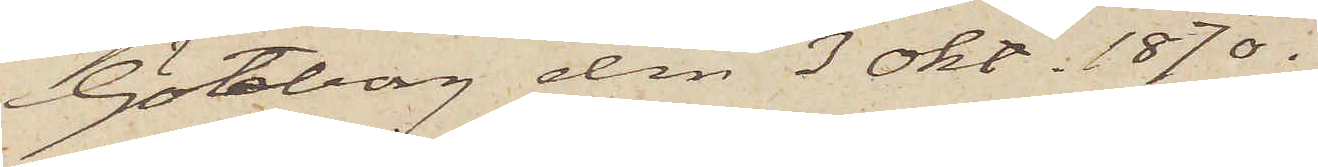Göteborg den 3 Okt. 1870.
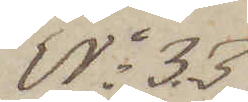No 33
